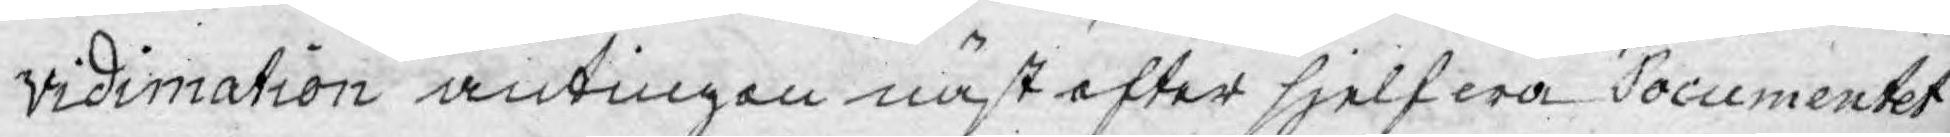vidimation antingen näst efter sjelfwa Documentet
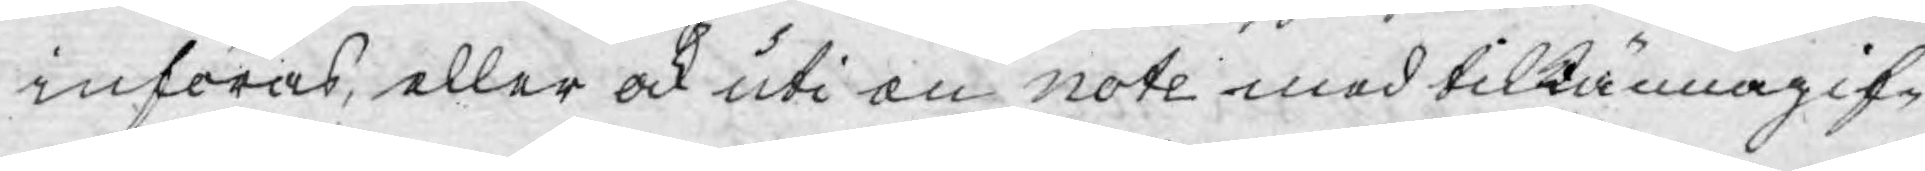införas, eller ock uti en note med tilkännagif¬
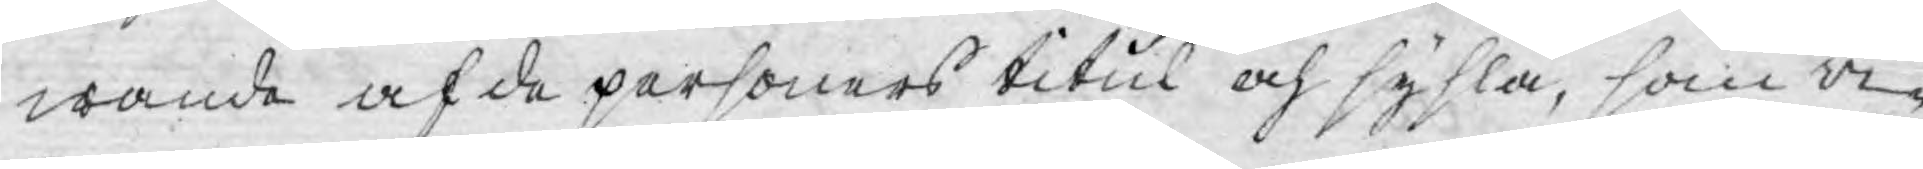wande af de personers titul och sysla, som vi¬
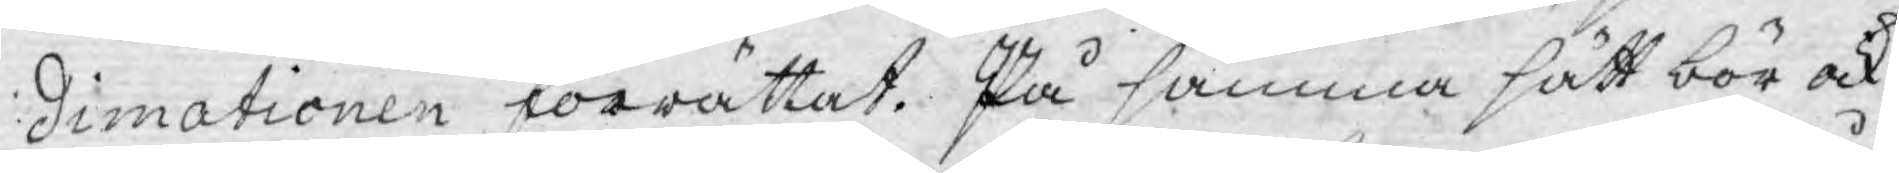dimationen förrättat. På samma sätt bör ock
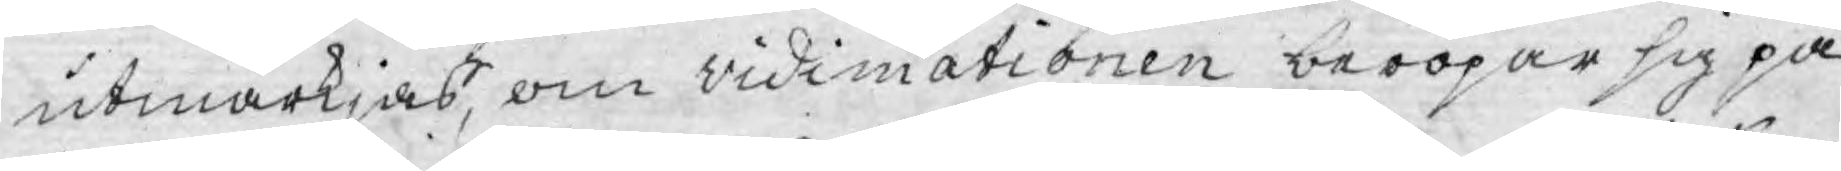utmärkjas, om vidimationen beropar sig på
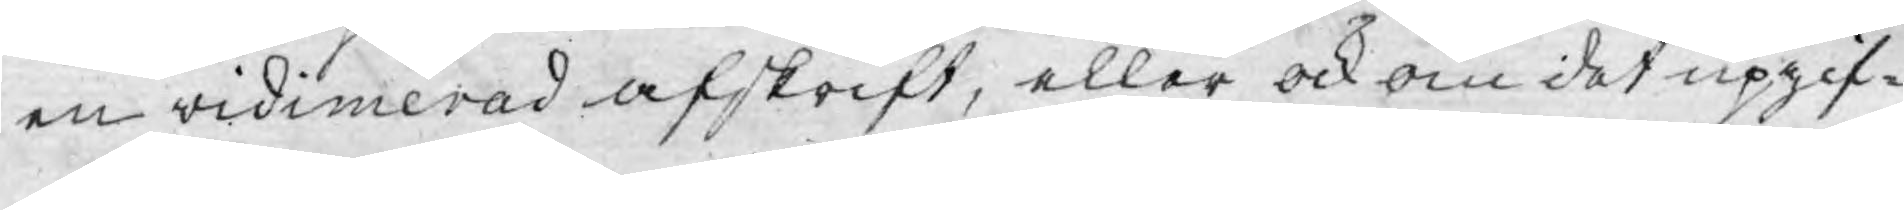en vidimerad afskrift, eller ock om det upgif¬
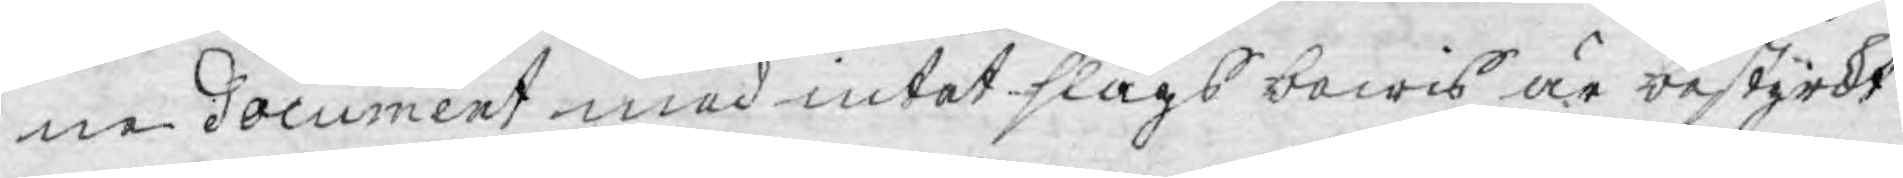ne document med intet slags bewis är bestyrkt
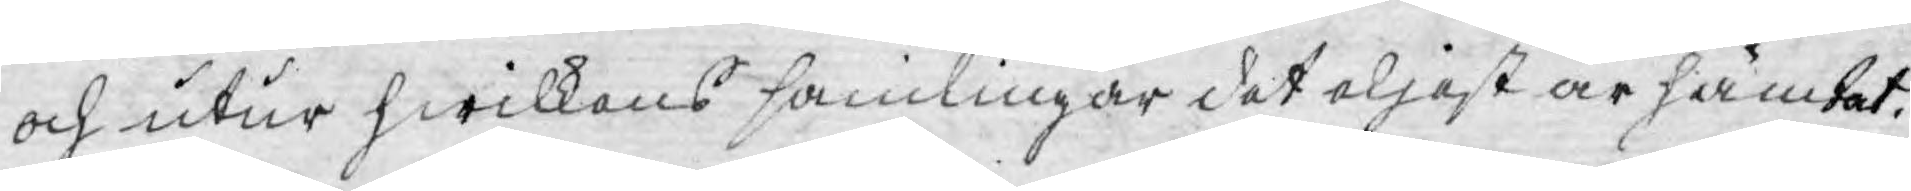och utur hwilkens samlingar det eljest är hämtat.
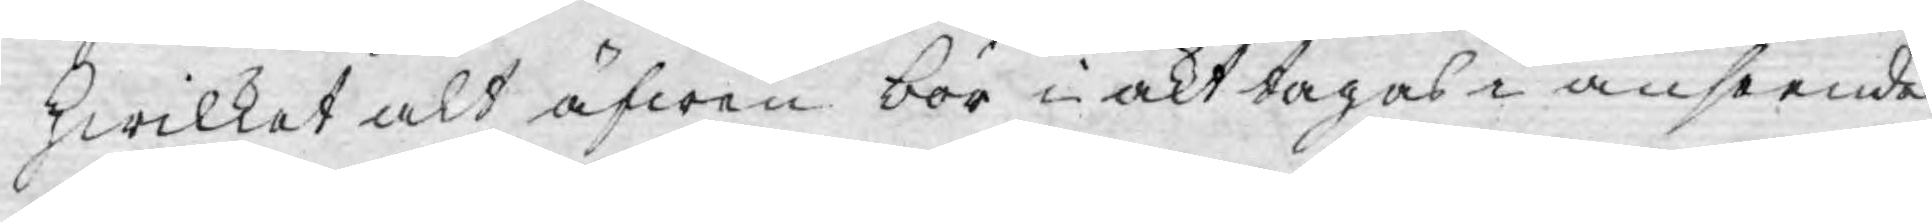hwilket alt äfwen bör i akt tagas i anseende
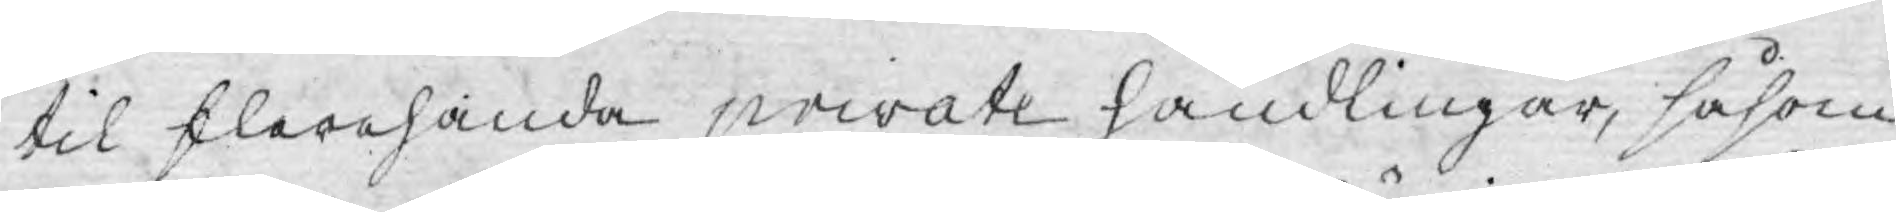til flerehanda private handlingar, såsom
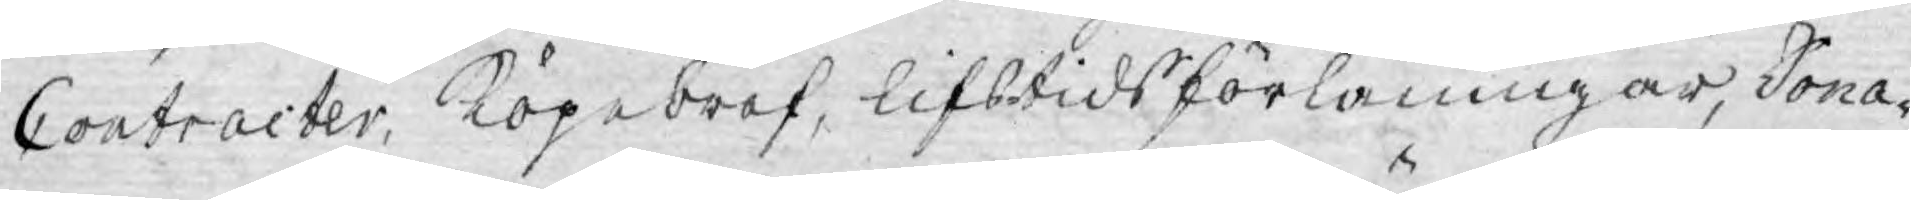Contracter, Köpebref, lifstids förläningar, Dona¬
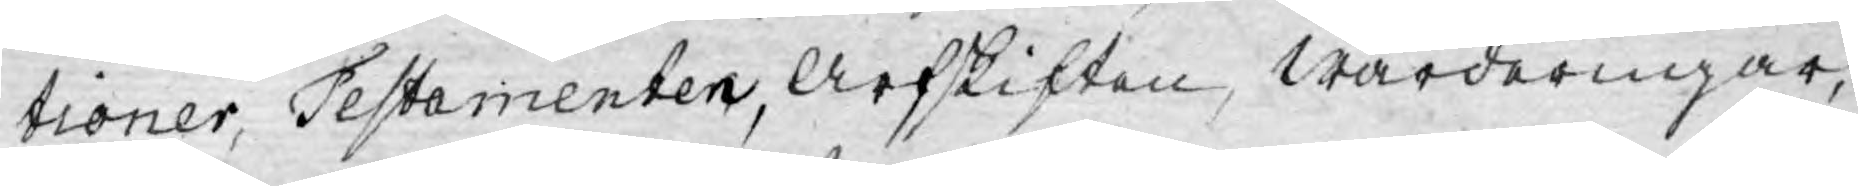tioner, Testamenten, Arfskiften, wärderingar;
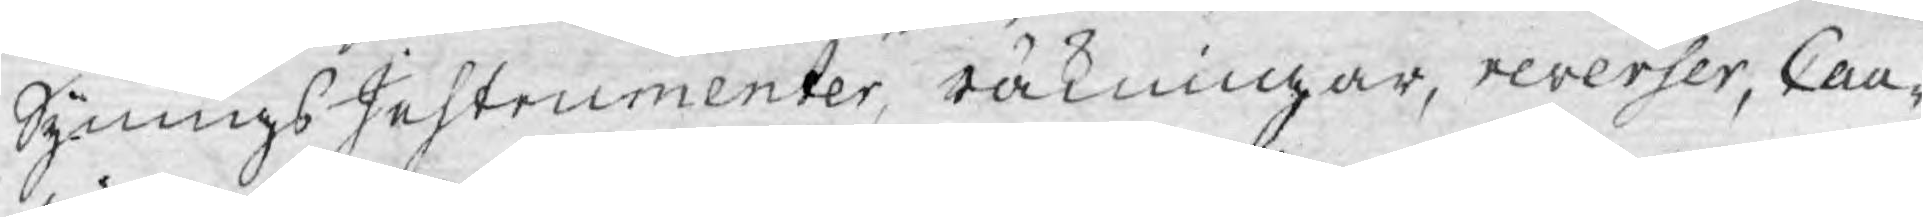Synings Instrumenter, räkningar, reverser, Cau¬
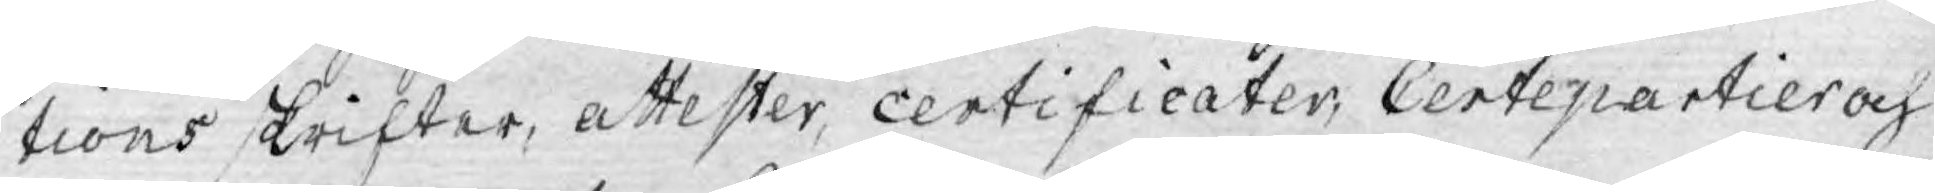tions skrifter, attester, certificater, Certepartier och
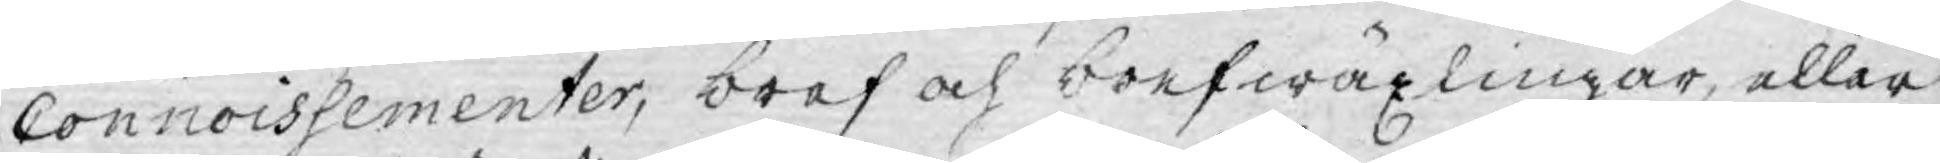Connoissementer, bref och brefwäxlingar, eller
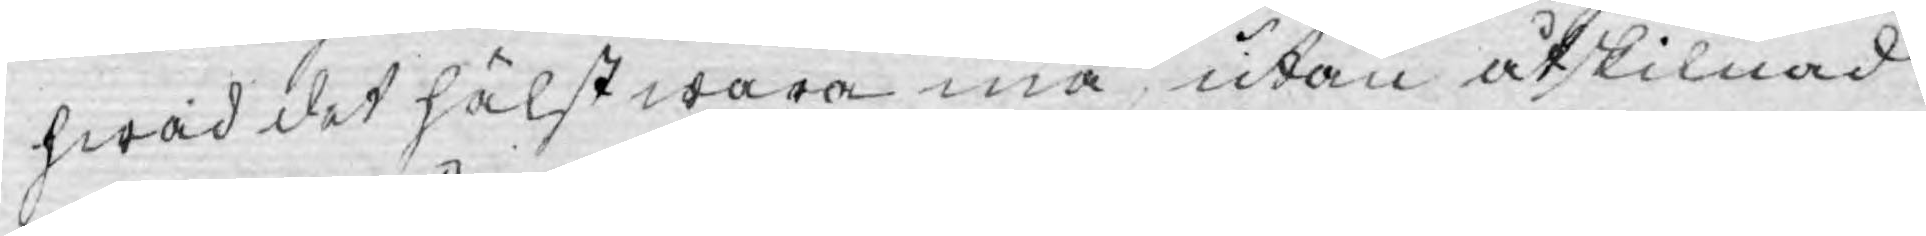hwad det hälst wara må utan åtskilnad
